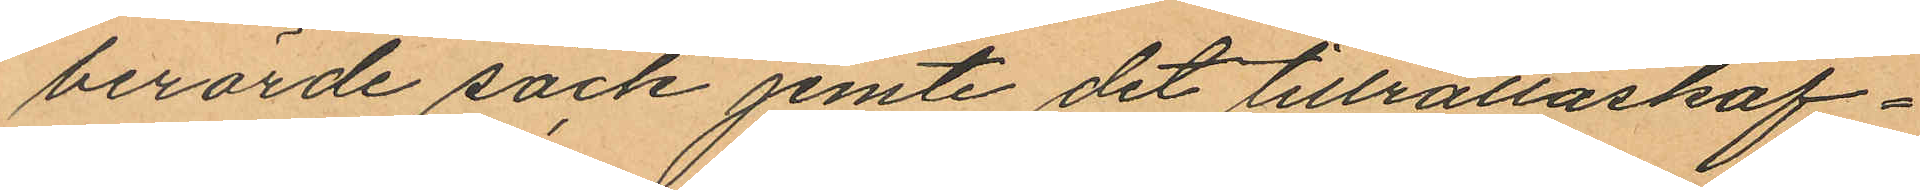berörde säck jemte det tillrättaskaf¬
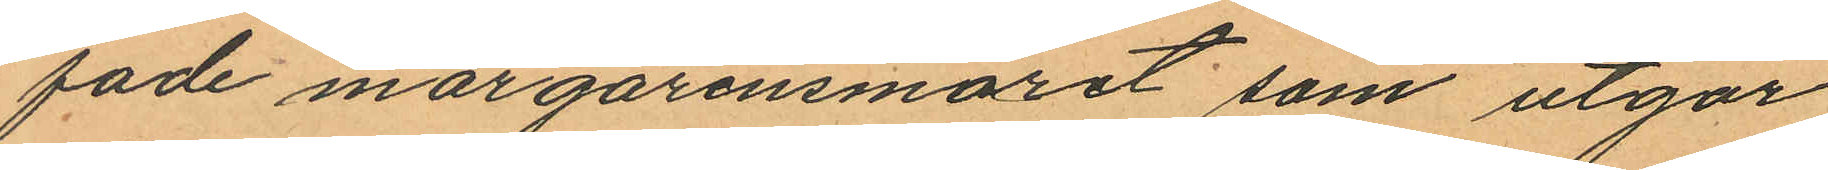fade margarinsmöret som utgör
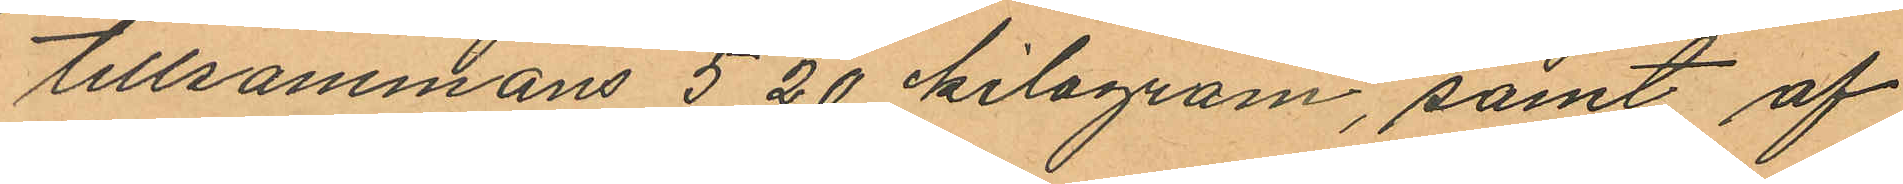tillsammans 5,20 kilogram, samt af
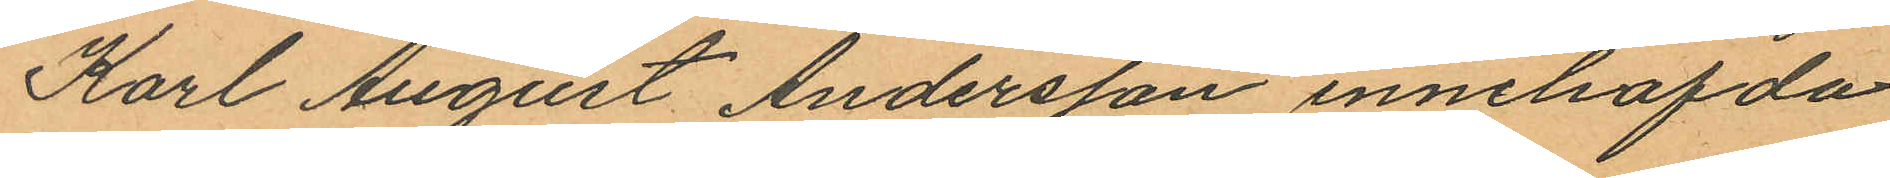Karl August Andersson innehafda
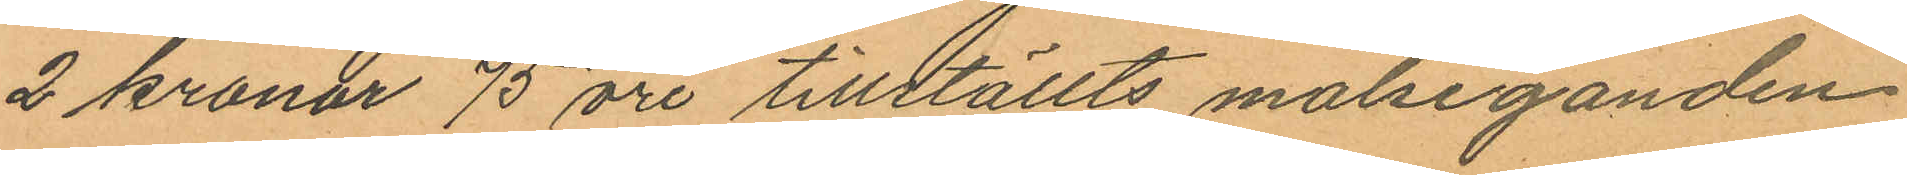2 kronor 75 öre tillställts målseganden
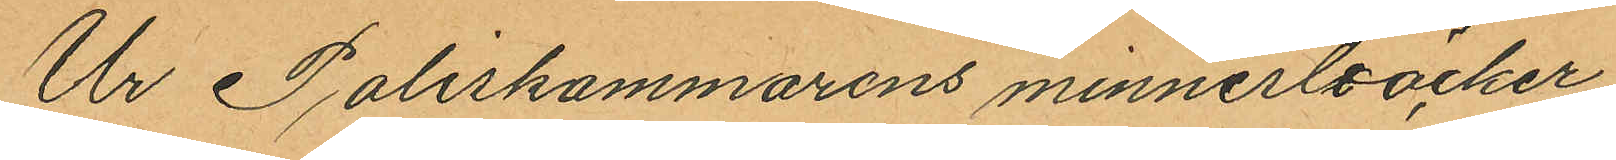Ur Poliskammarens minnesböcker
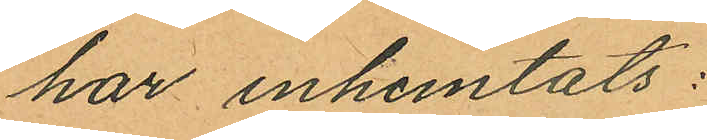har inhemtats:
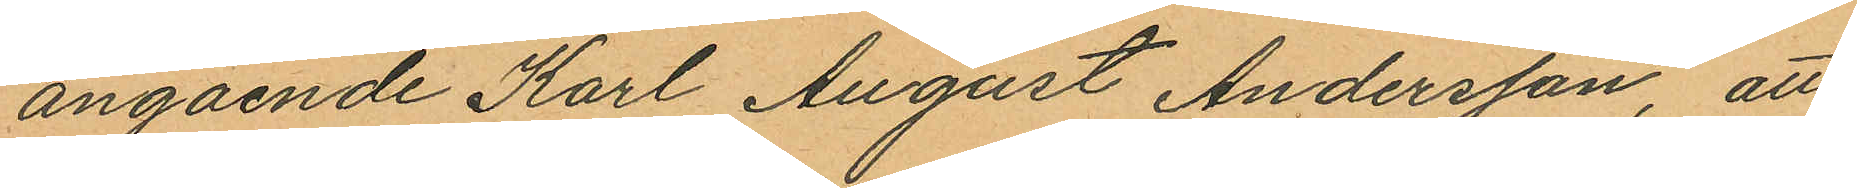angående Karl August Andersson, att
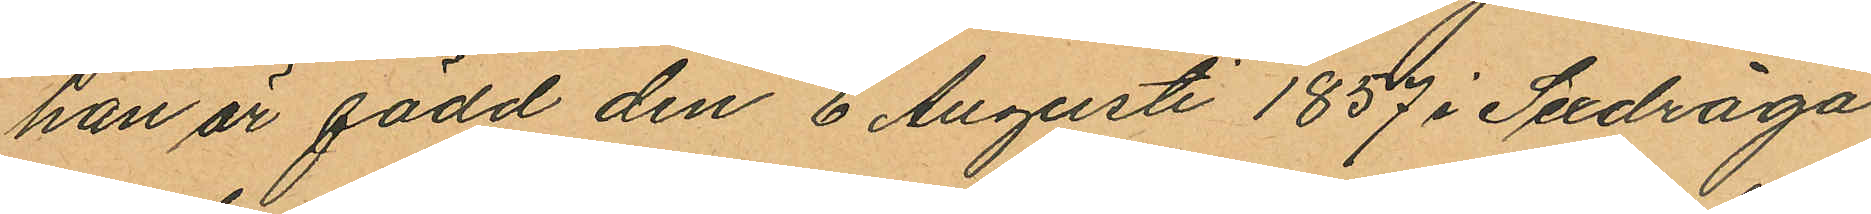han är född den 6 Augusti 1857 i Sexdräga
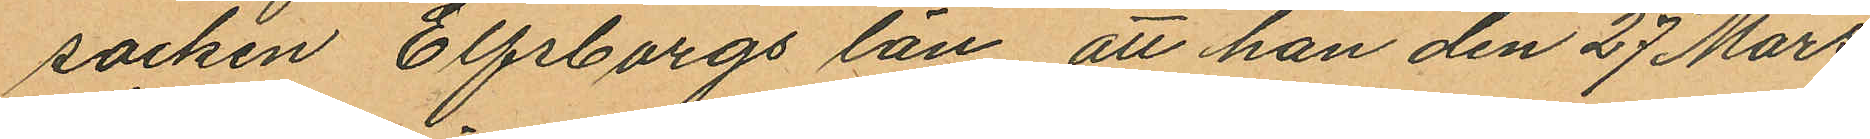socken Elfsborgs län, att han den 27 Mars
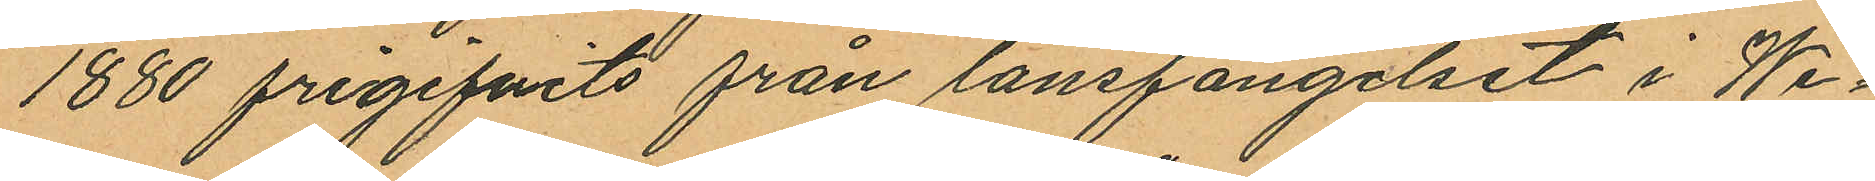1880 frigifvits från länsfängelset i We¬
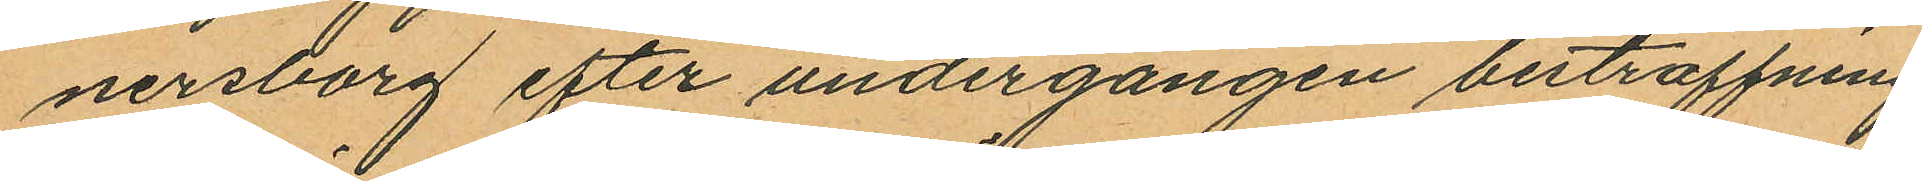nersborg efter undergången bestraffning
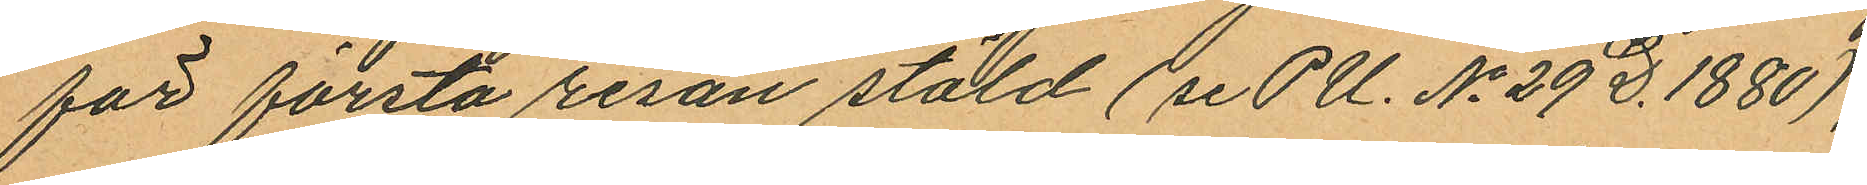för första resan stöld (se PU. No 29 D. 1880);
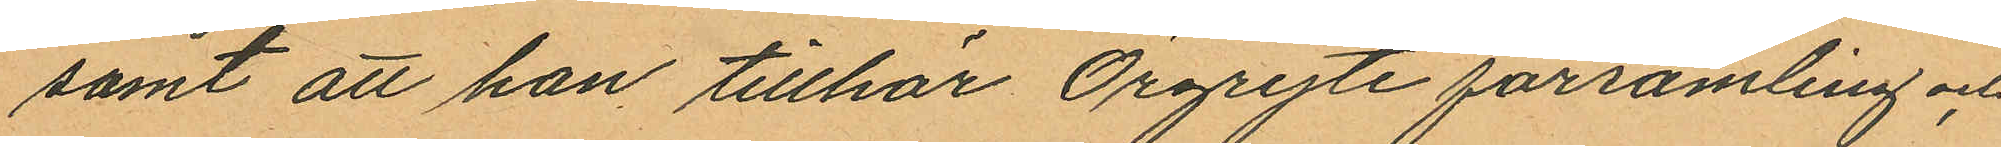samt att han tillhör Örgryte församling och
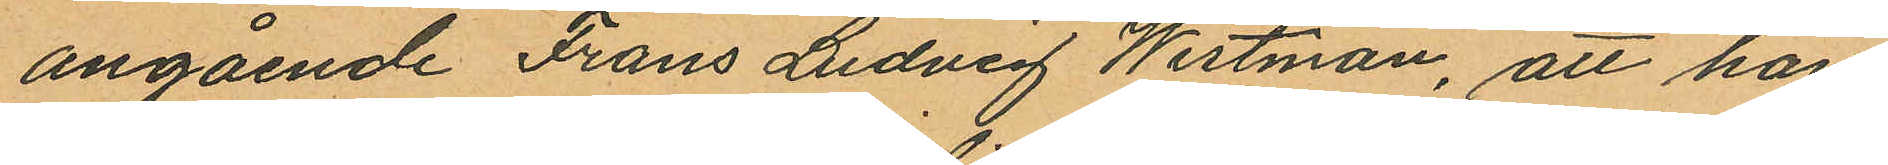angående Frans Ludvig Westman, att han
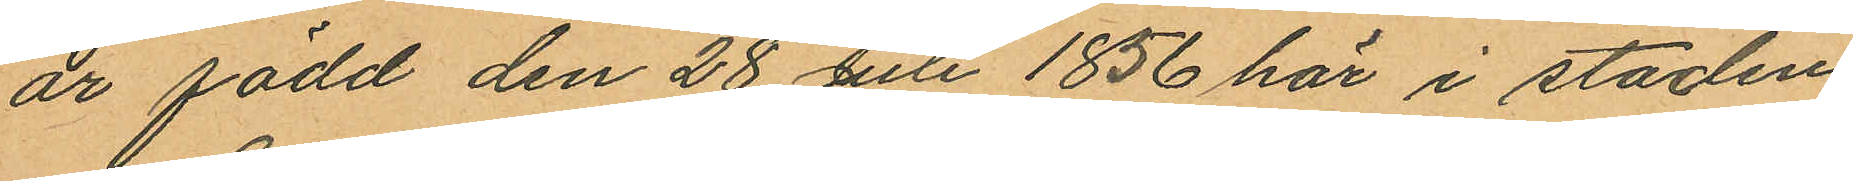är född den 28 Juli 1856 här i staden;
